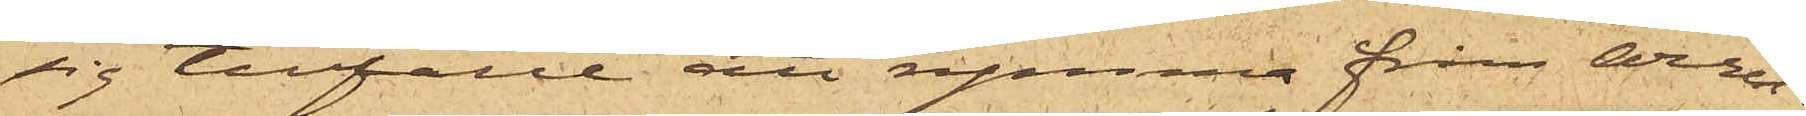sig tillfälle att rymma från Arrest¬
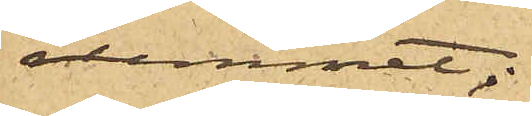rummet;
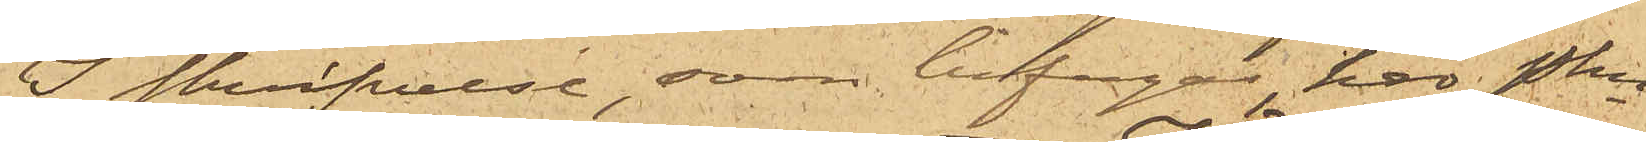I skrifvelse, som bifogas, har Pkn
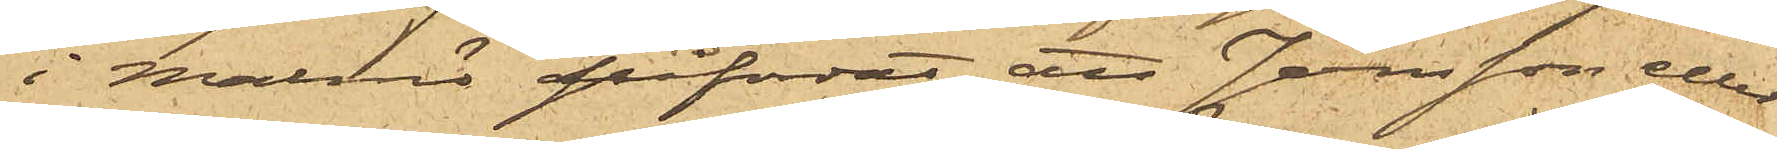i Malmö påfordrat, att Jönsson eller
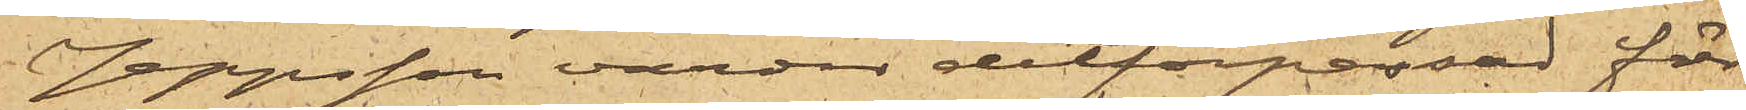Jeppsson varder ditförpassad för
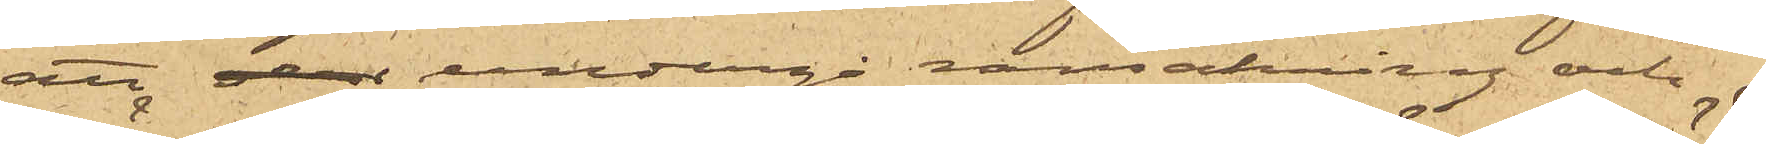att undergå ransakring och
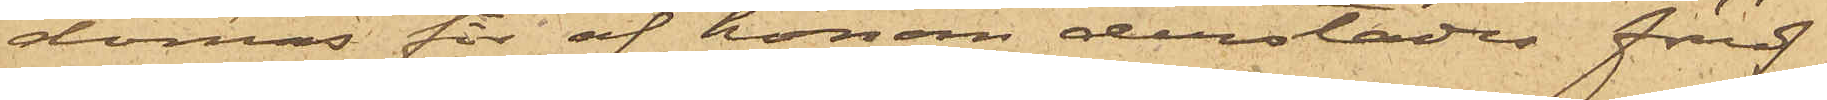dömas för af honom derstädes föröf¬
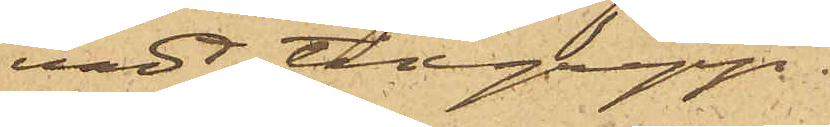vadt tillgrepp.
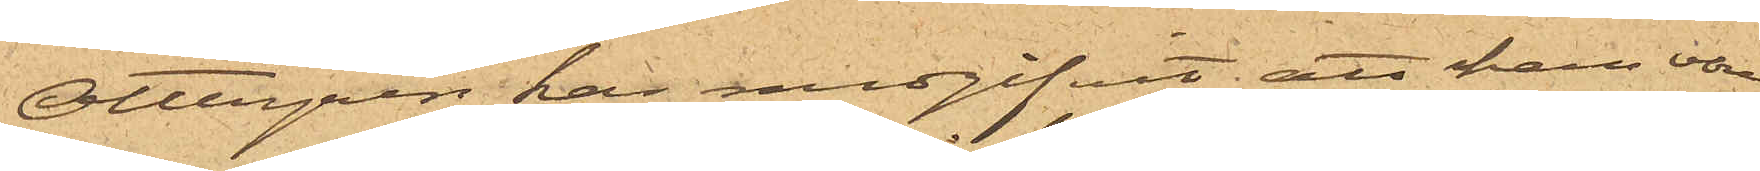Ottergren har medgifvit, att han vore
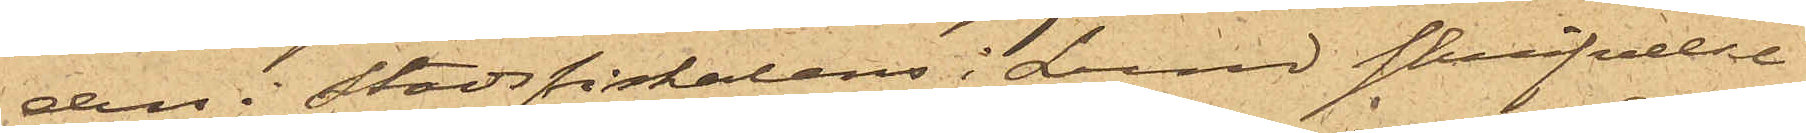den i Stadsfiskalens i Lund skrifvelse
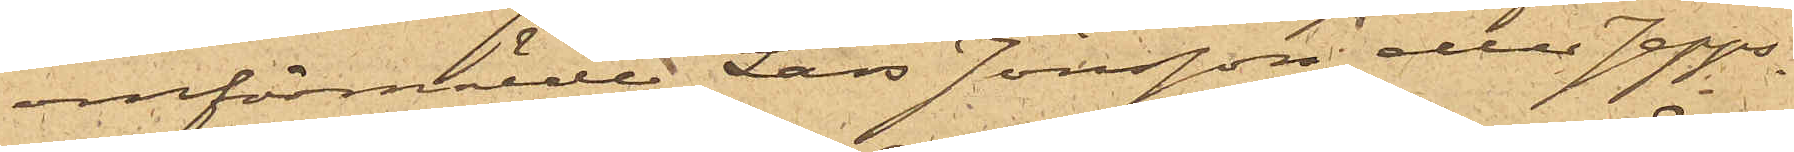omförmälde Lars Jönsson eller Jepps¬
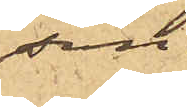son.
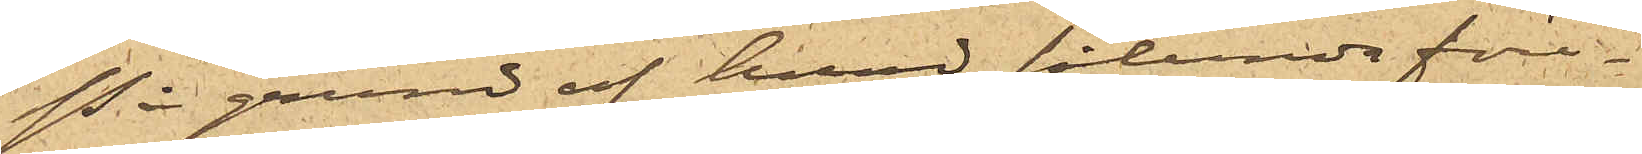På grund af hvad sålunda före¬
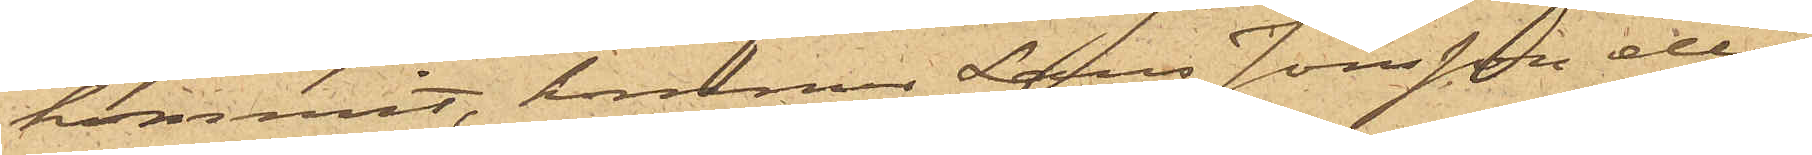kommit, kommer Lars Jönsson eller
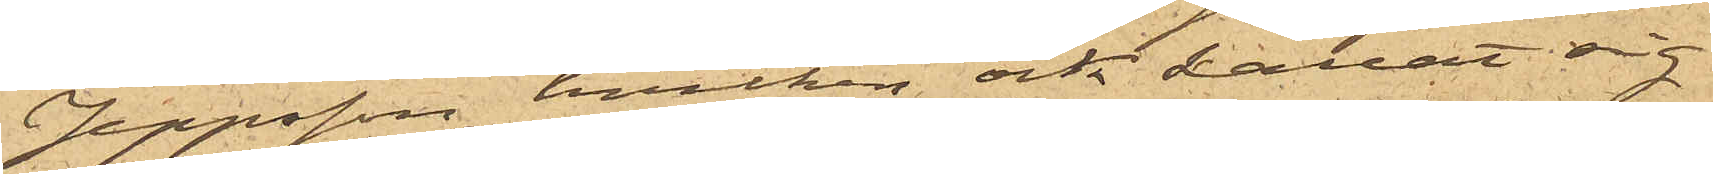Jeppsson, hvilken ock kallat sig
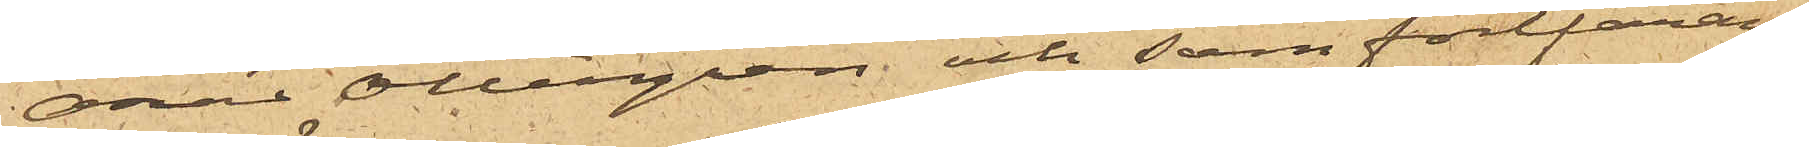Oscar Ottergren och som fortfaran¬
